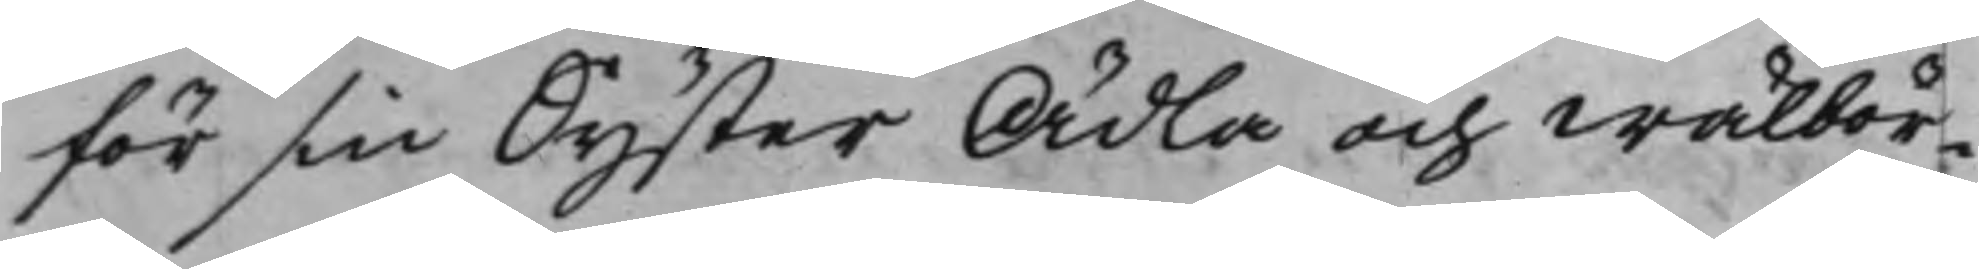för sin Syster Ädla och Wälbör¬
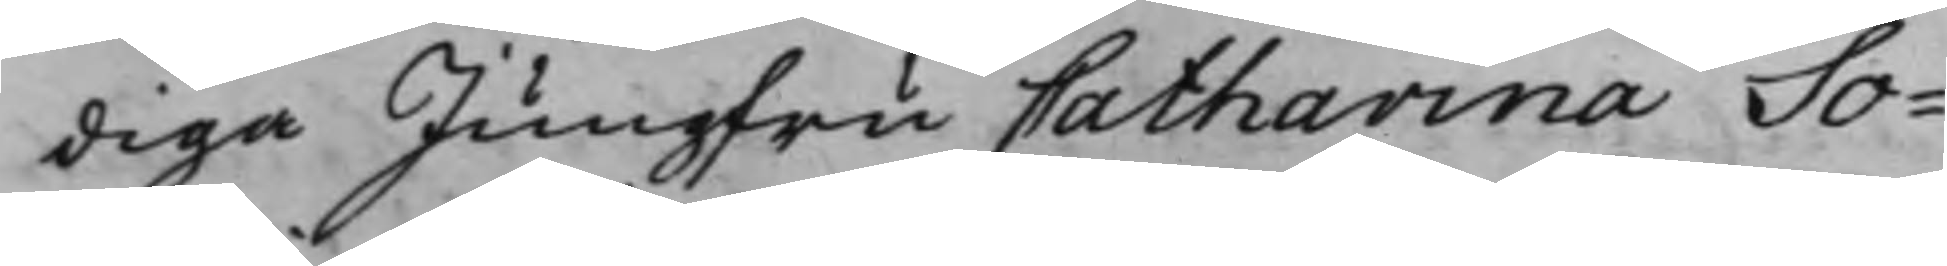diga Jungfru Catharina So¬
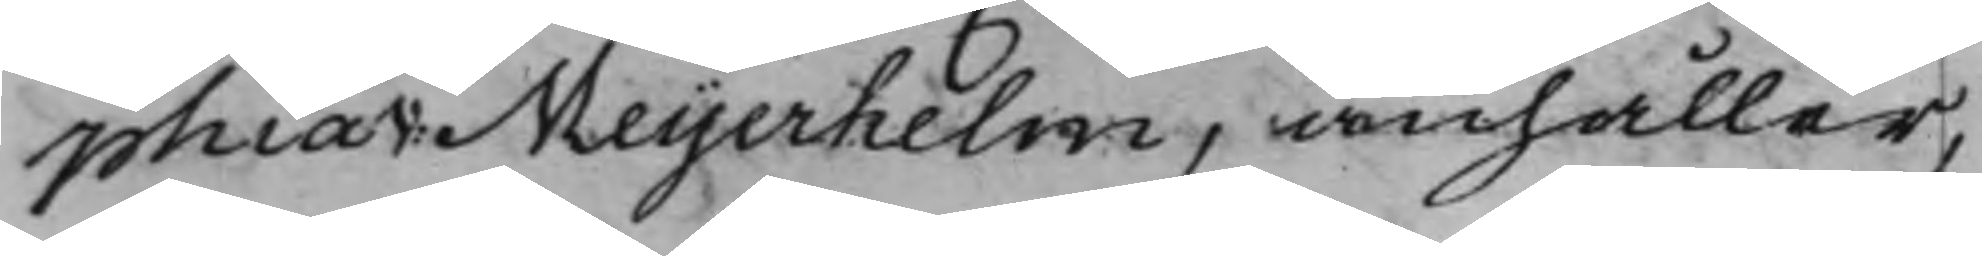phia v: Meijerhelm, anhåller,
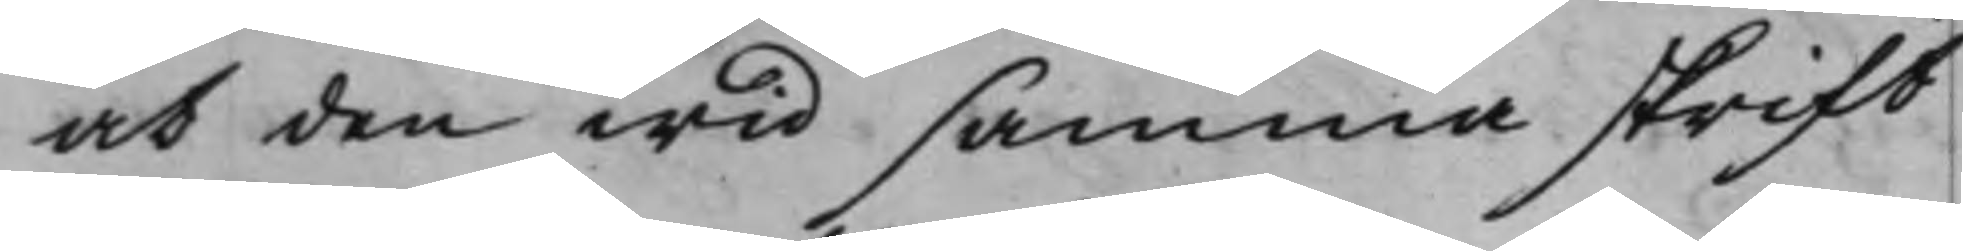at den wid samma skrift
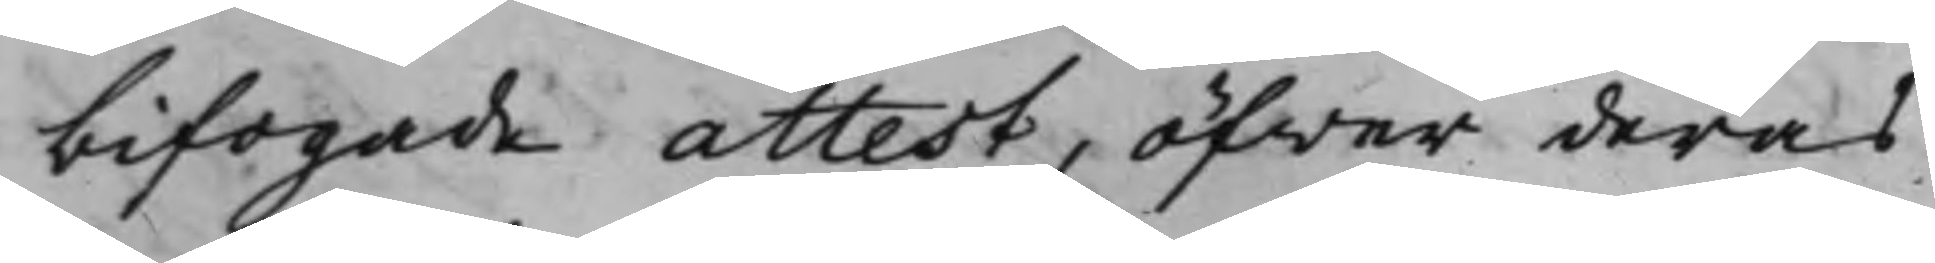bifogade attest, öfwer deras
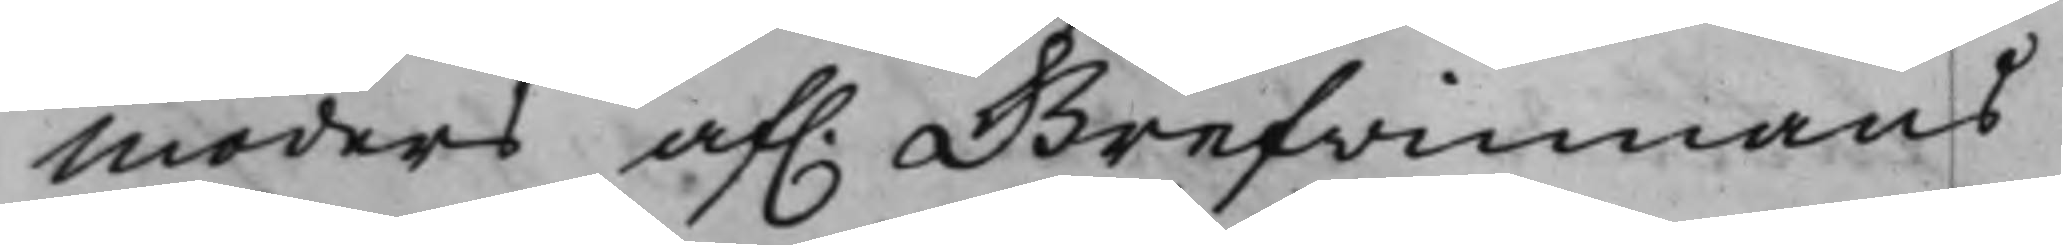Moders af. Grefvinnans
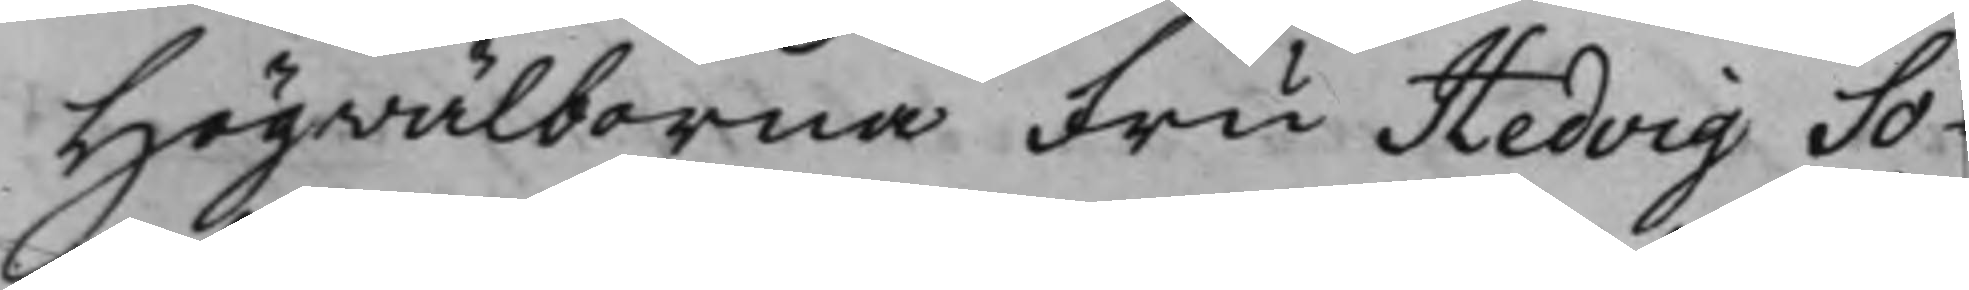Högvälborna Fru Hedvig So¬
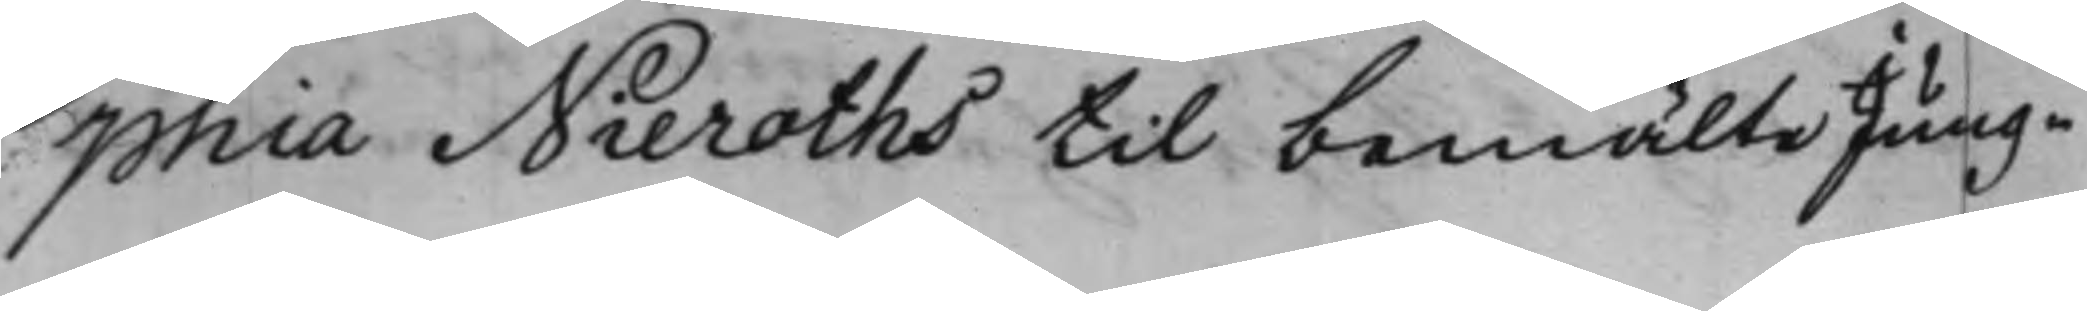phia Nieroths til bemälte Jung¬
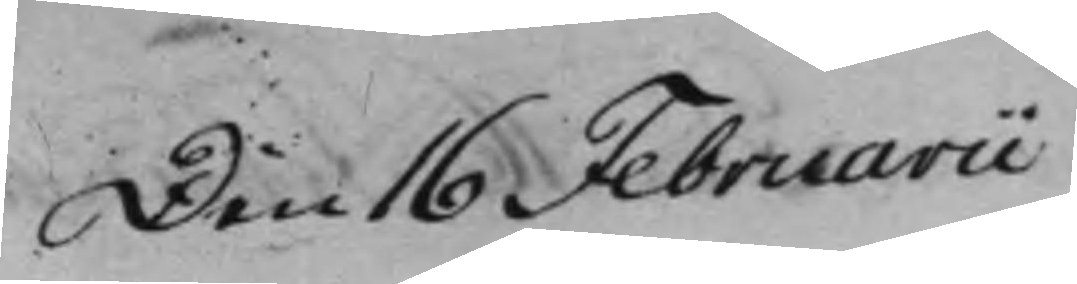Den 16 Februarii
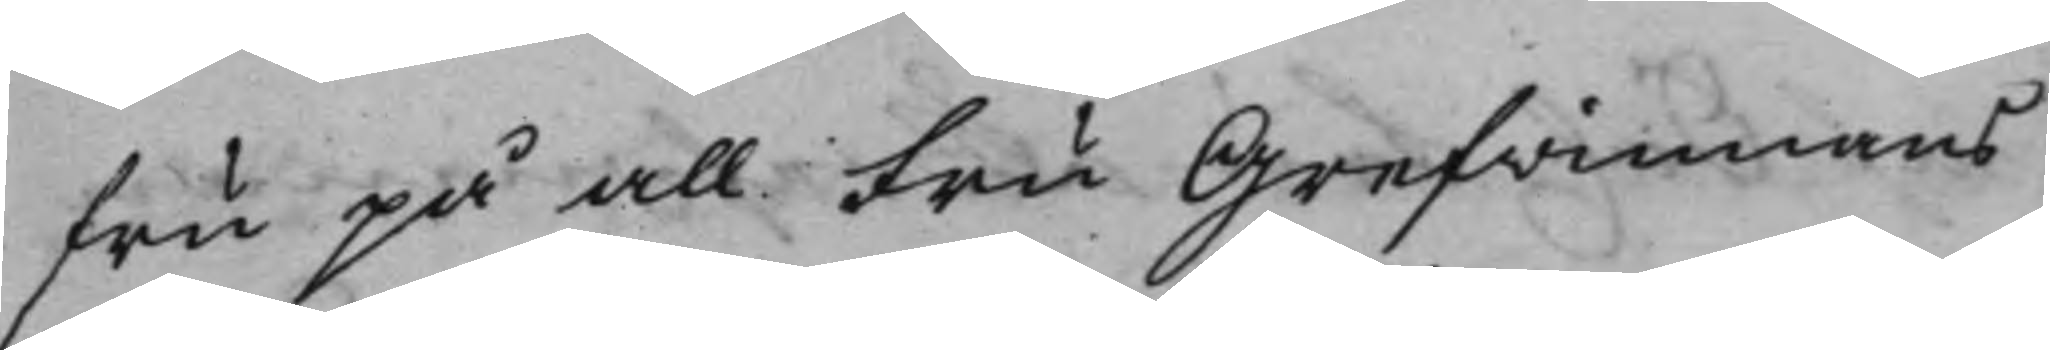fru på all Fru Grefvinnans
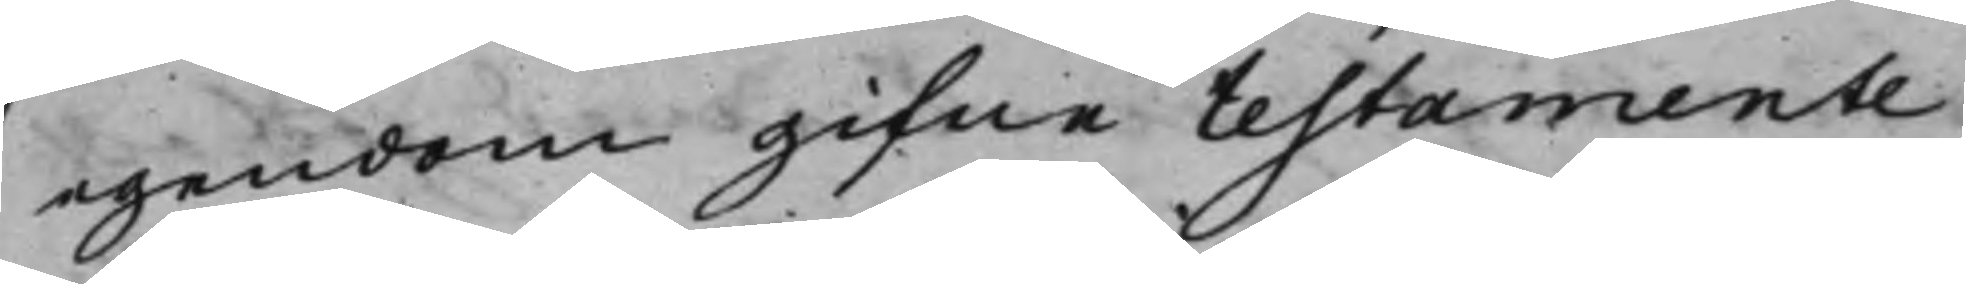egendom gifne testamente
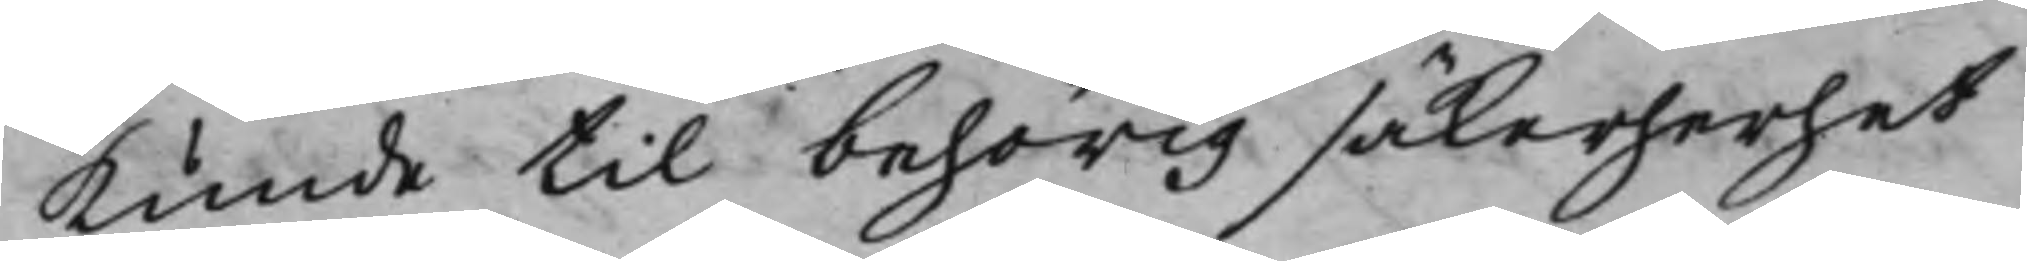kunde til behörig säkerherhet
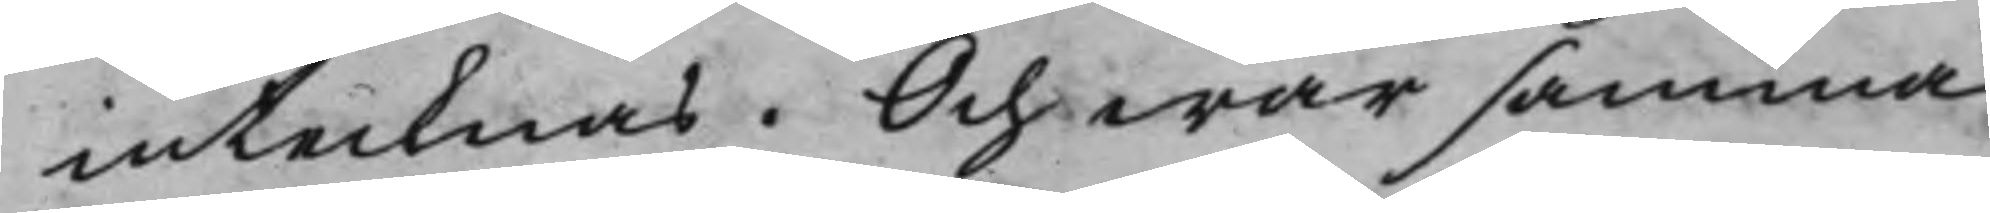intecknas. Och war samma
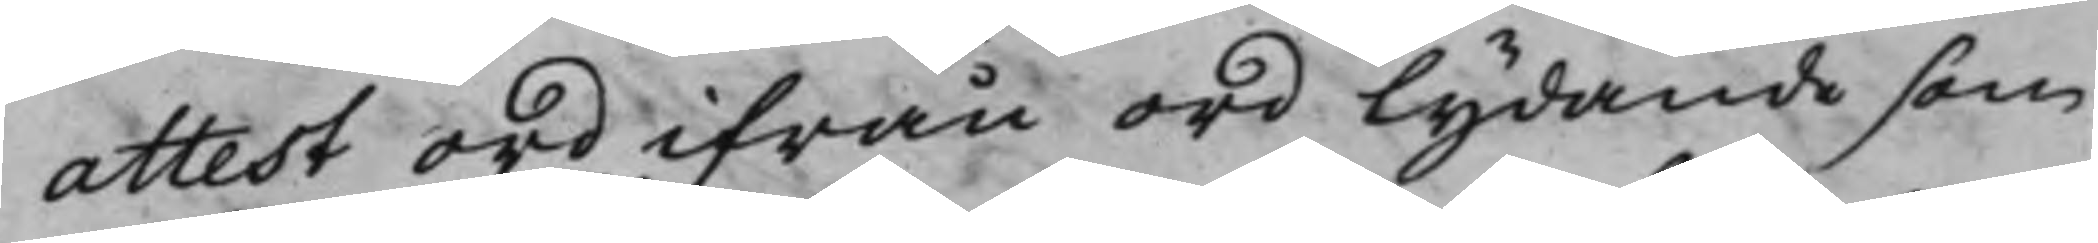attest ord ifrån ord lydande som
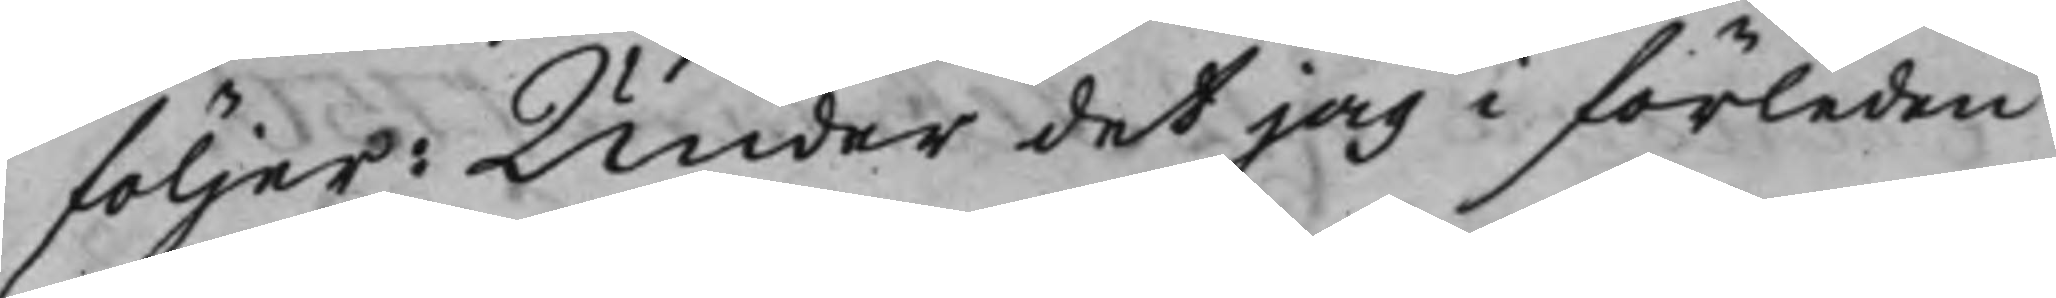följer: Under det jag i förleden
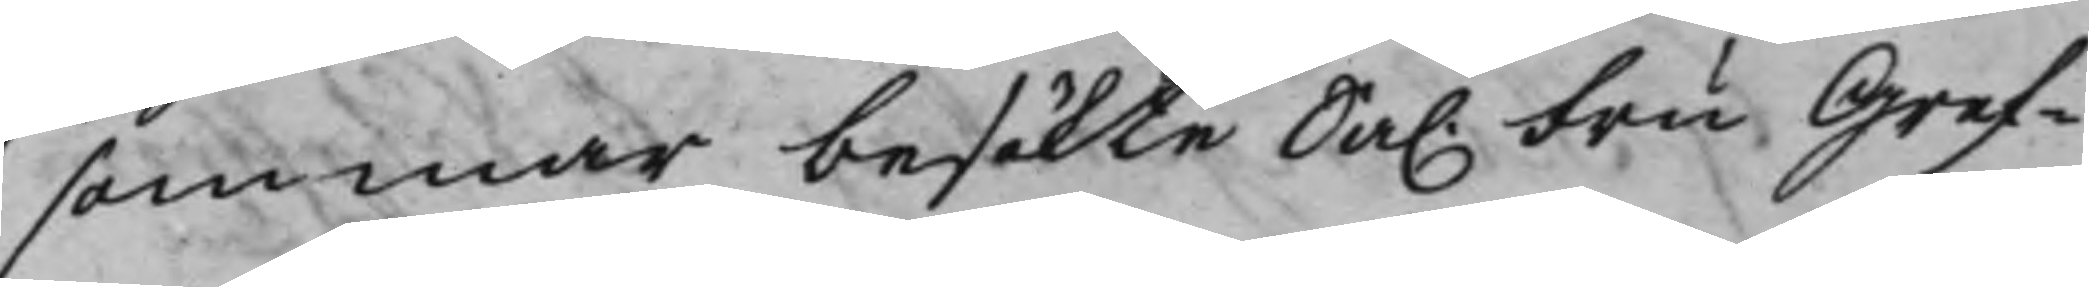sommar besökte Sal. Fru Gref¬
